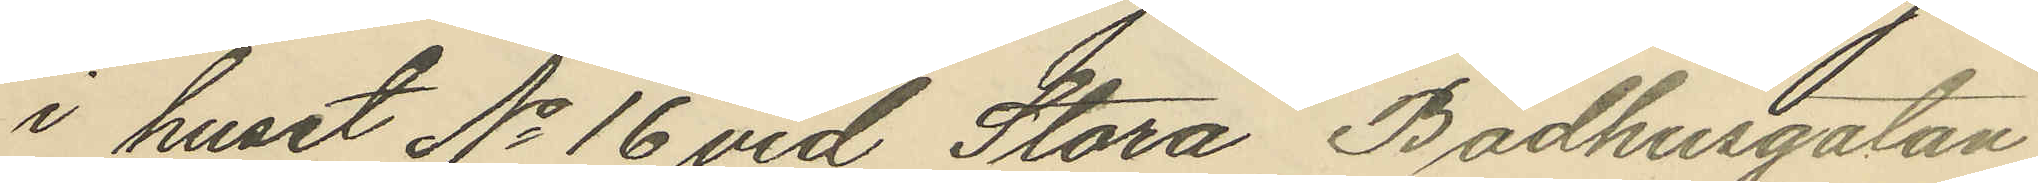i huset No 16 vid Stora Badhusgatan
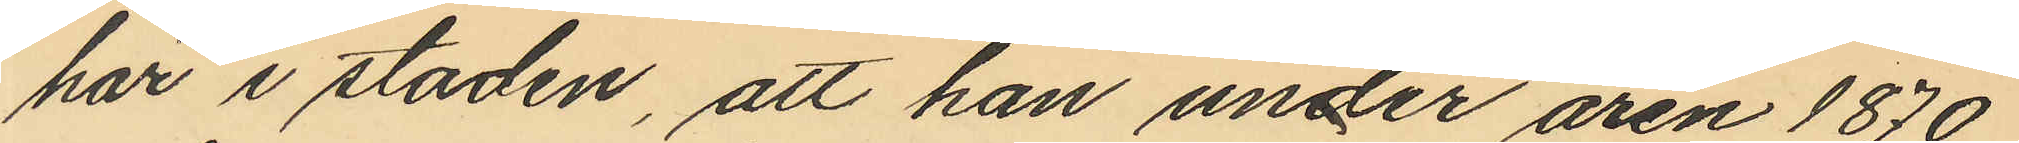här i staden, att han under åren 1870
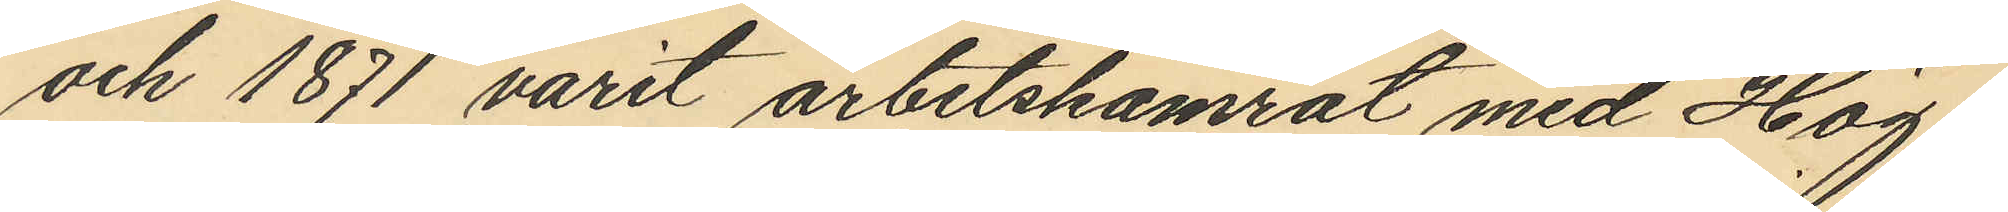och 1871 varit arbetskamrat med Hög¬
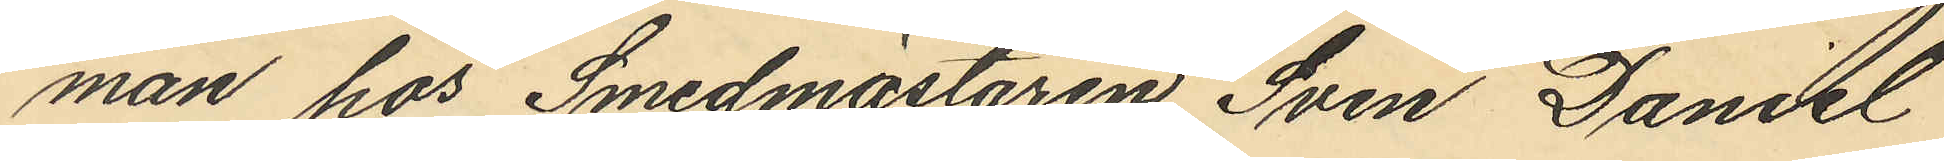man hos Smedmästaren Sven Daniel
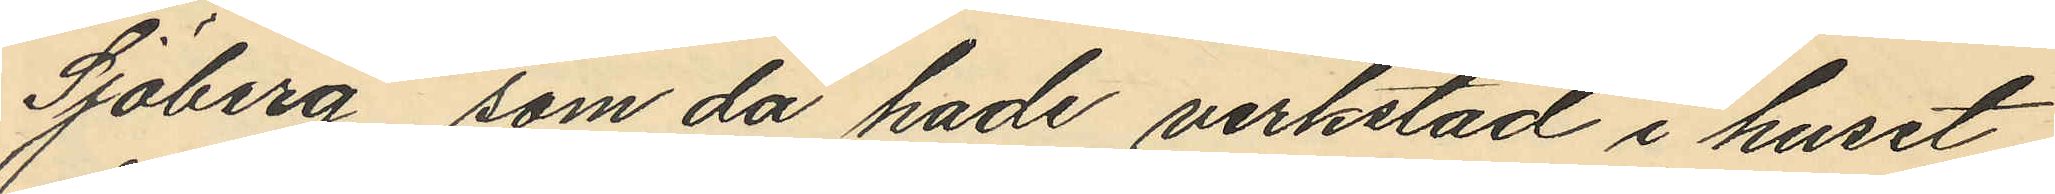Sjöberg, som då hade verkstad i huset
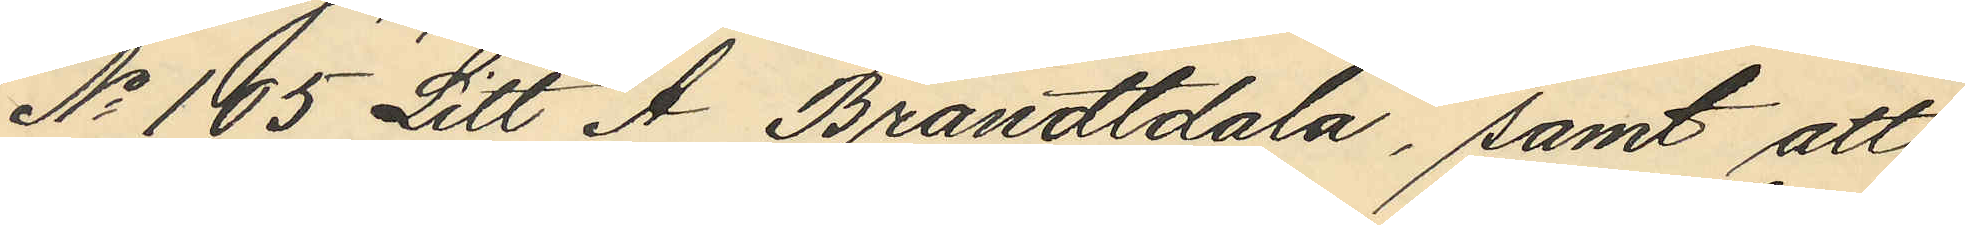No 105 Litt A Brandtdala, samt att
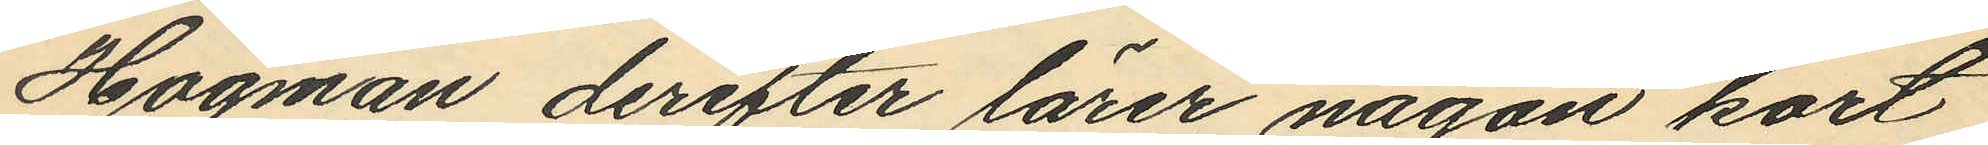Högman derefter lärer någon kort
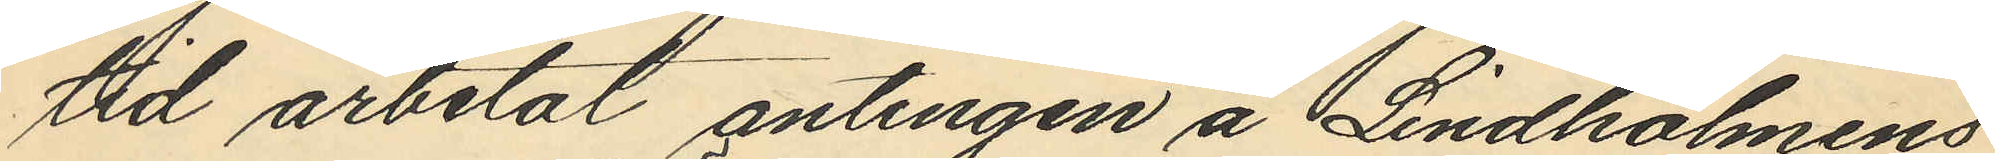tid arbetat antingen å Lindholmens
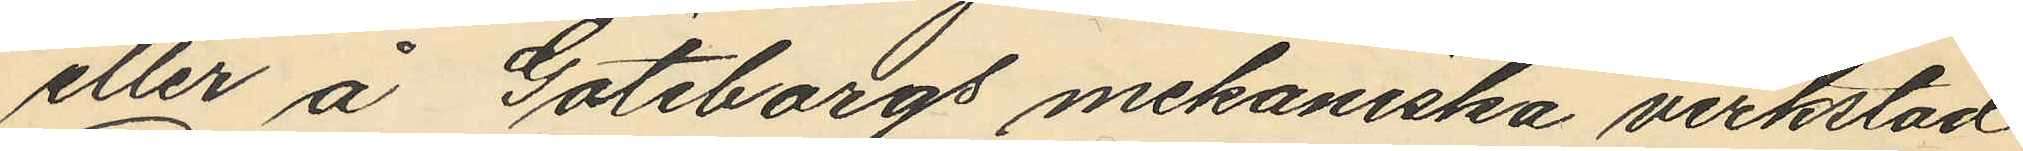eller å Göteborgs mekaniska verkstad
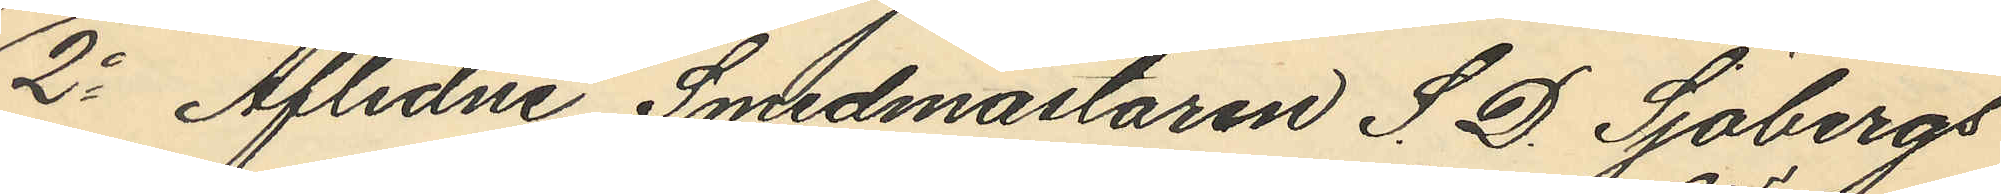2o Aflidne Smedmästaren S. D. Sjöbergs
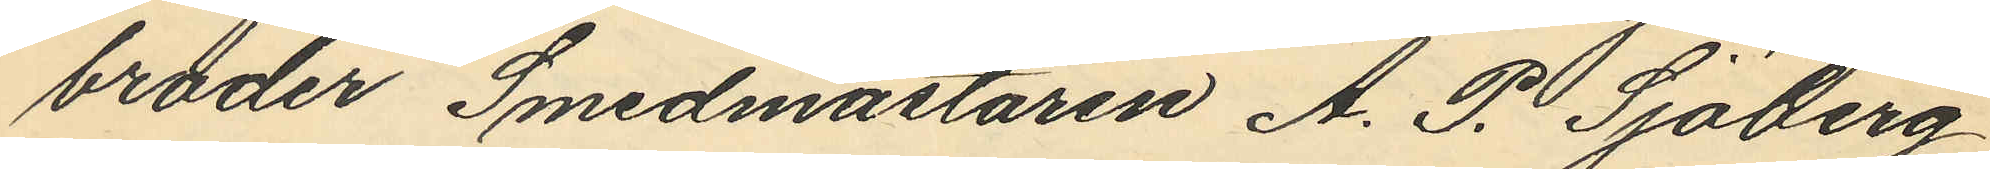broder Smedmästaren A. P. Sjöberg
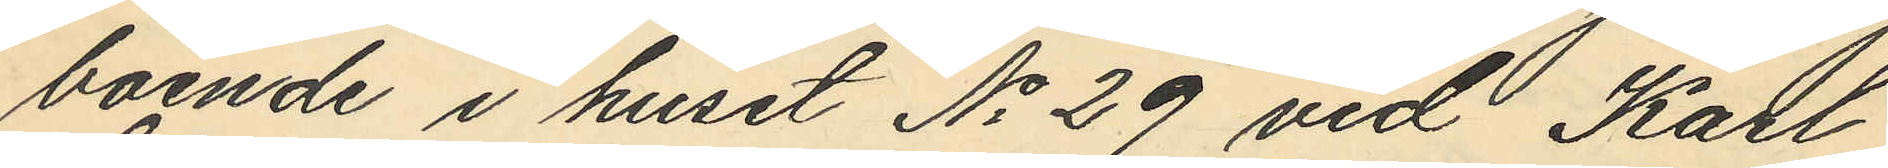boende i huset No 29 vid Karl
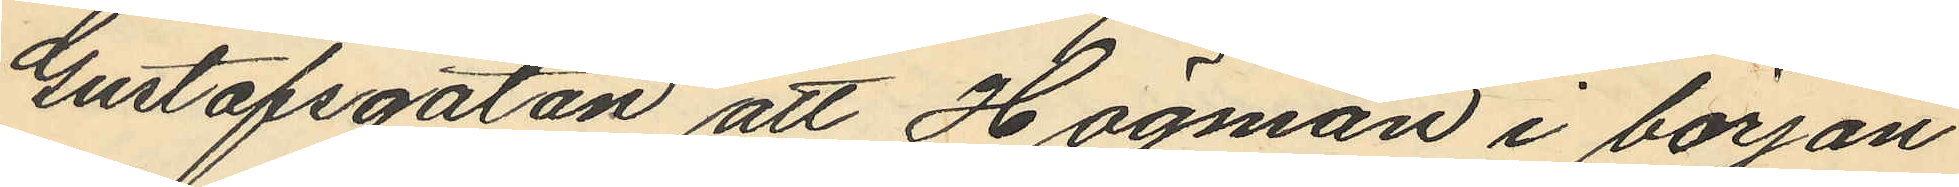Gustafsgatan att Högman i början
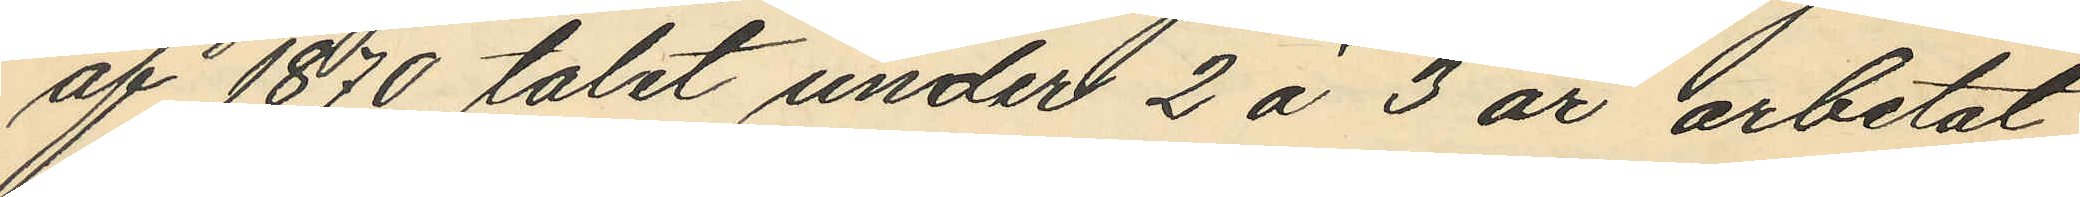af 1870 talet under 2 á 3 år arbetat
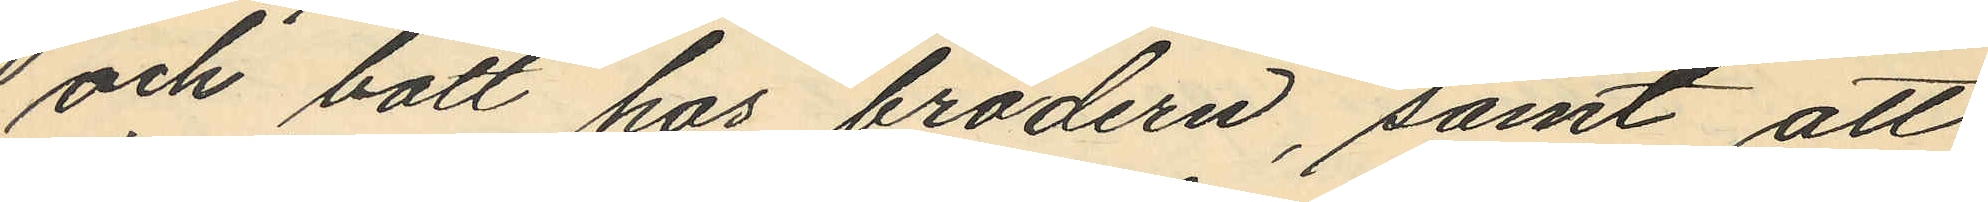och bott hos brodern, samt att
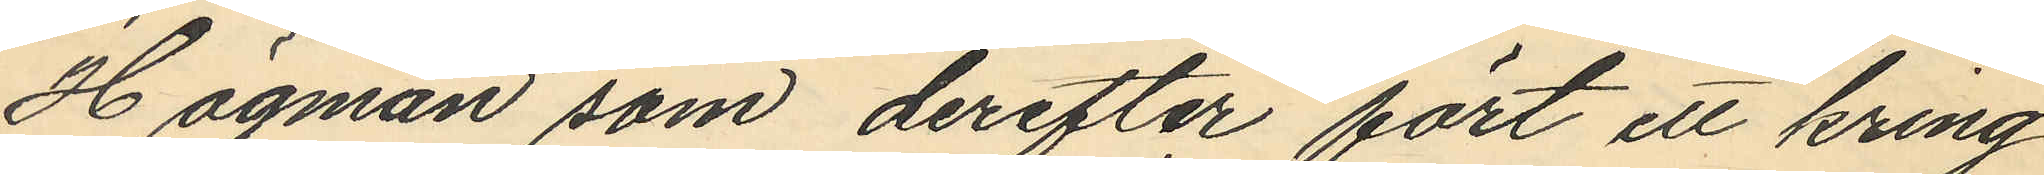Högman som derefter fört ett kring
